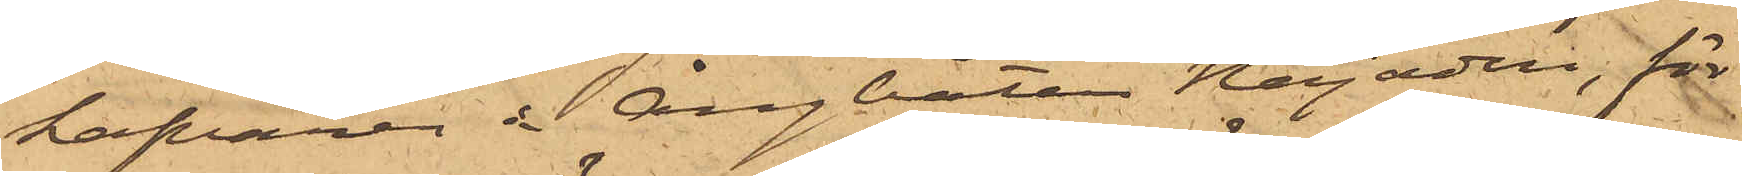hafvaren å Ångbåtan Najaden, för
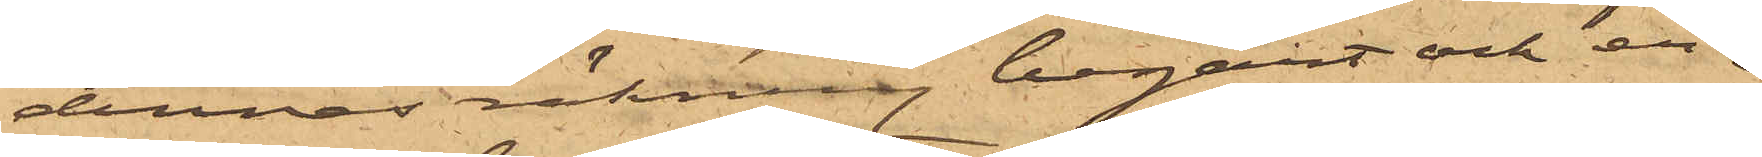dennes räkning begärt och er¬
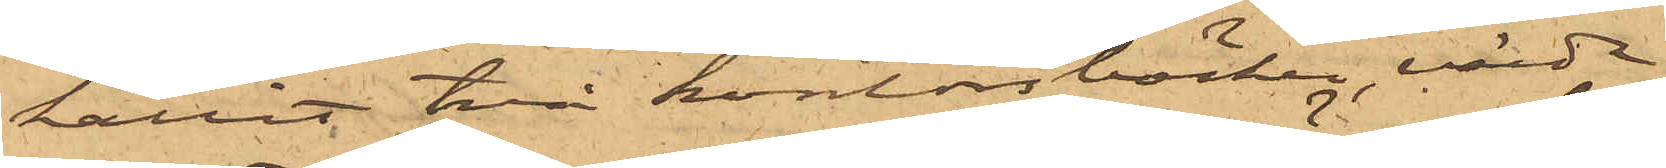hållit två kontorsböcker, värde
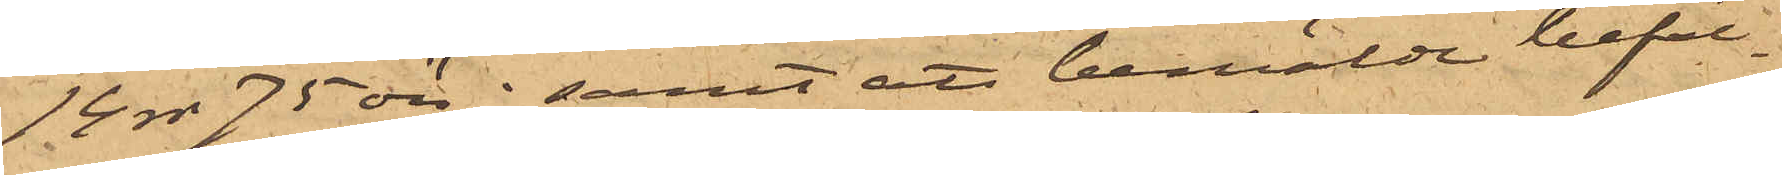14 rdr 75 öre; samt att bemälde befäl¬
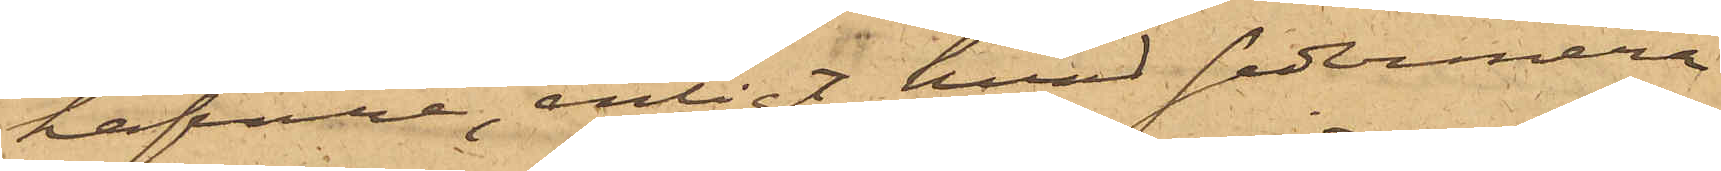hafvare, enligt hvad sedermera
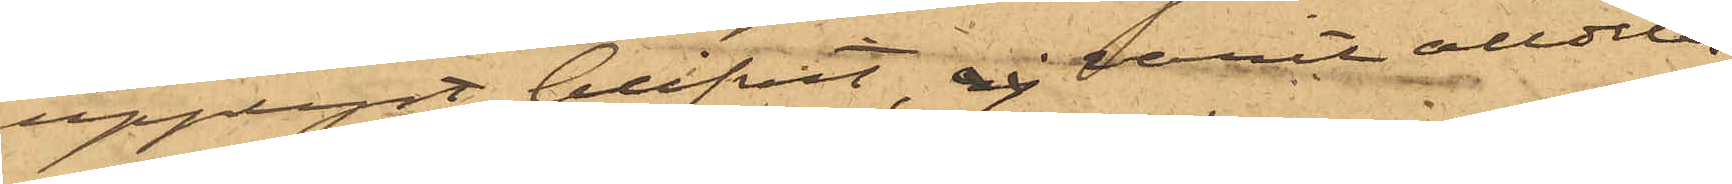upplyst blifvit, varit alldeles
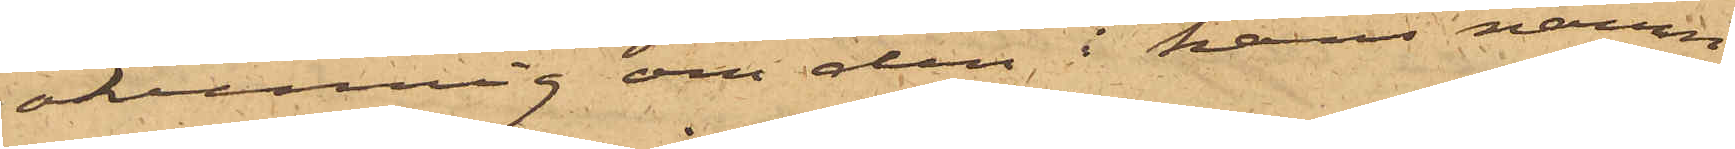okunnig om den i hans namn
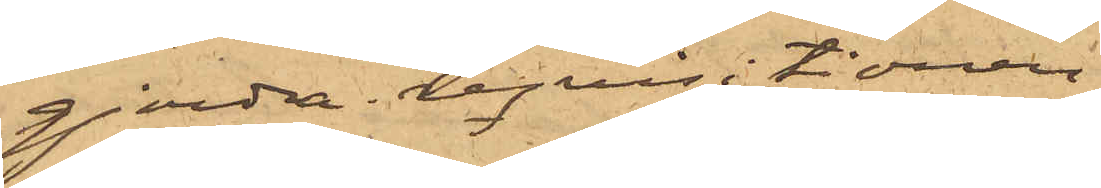gjorda reqvisitionen.
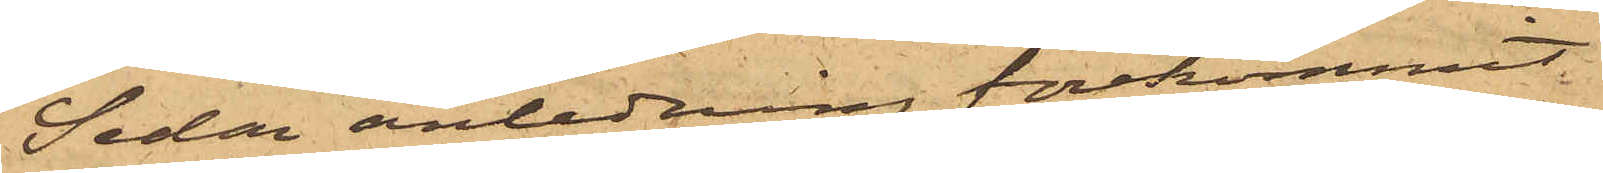Sedan anledning förekommit
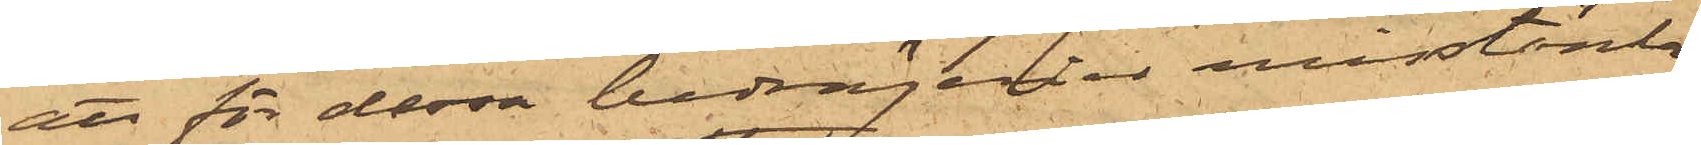att för dessa bedrägerier misstänka
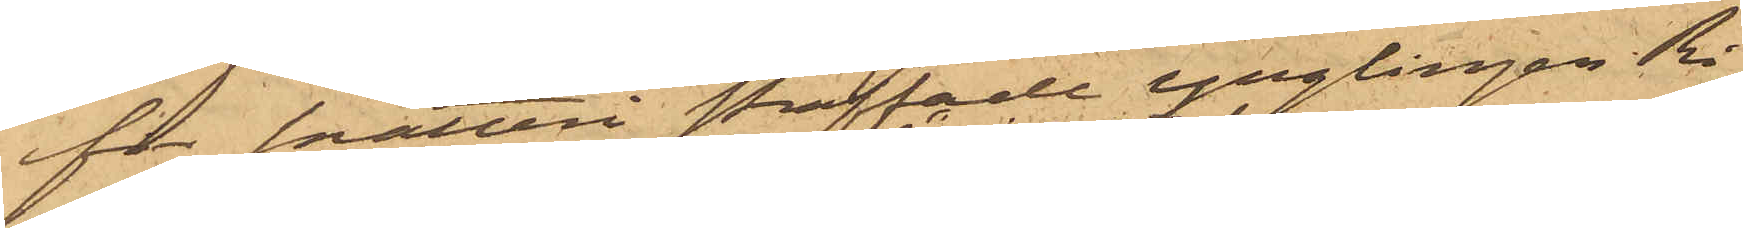för snatteri straffade Ynglingen Ri¬
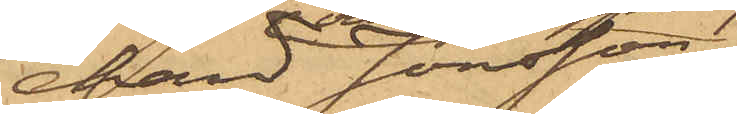hard Jonsson,
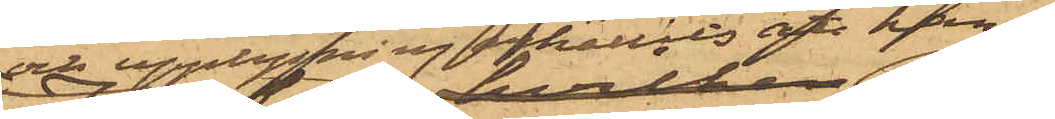och upplysning erhållits att han
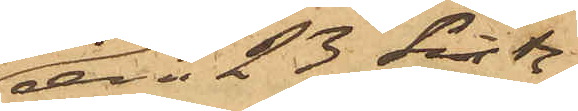den 23 sist.
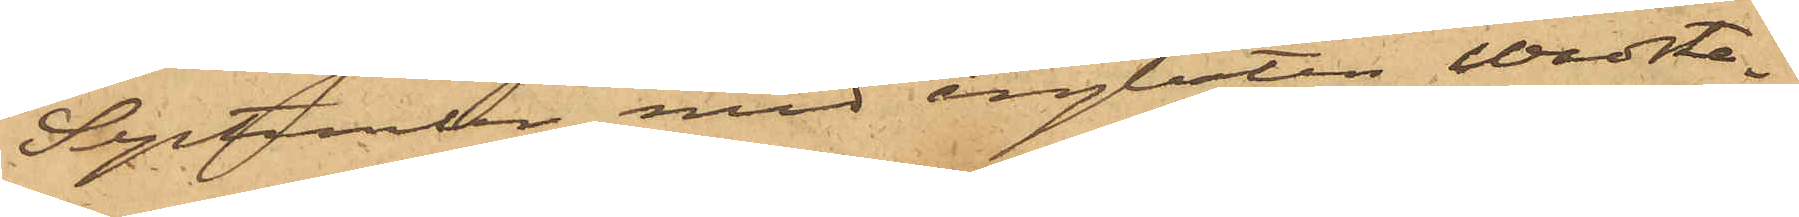September med ångbåten Wadste¬
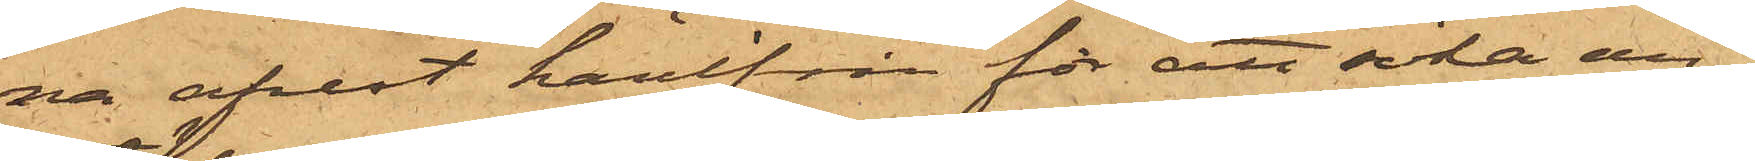na afrest härifrån för att söka an¬
